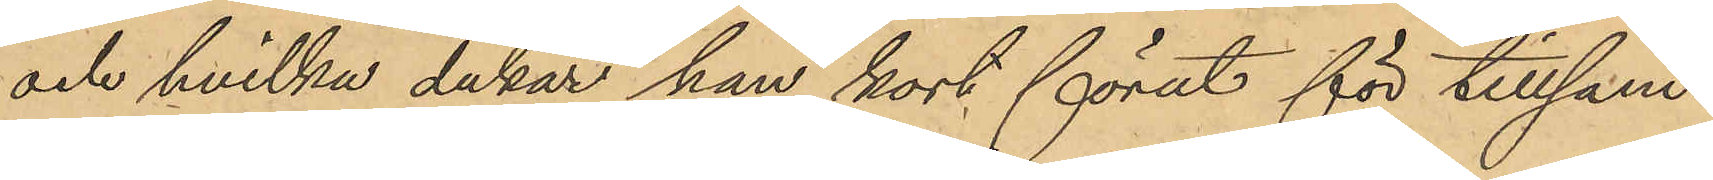och hvilka dukar han kort förut för tillsam¬
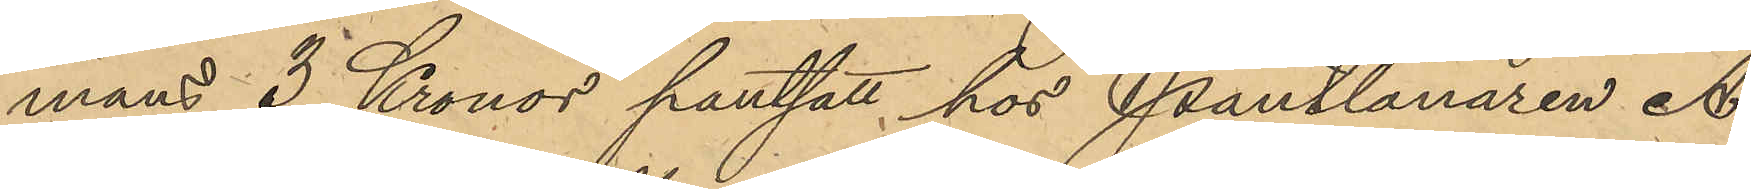mans 3 Kronor pantsatt hos Pantlånaren A.
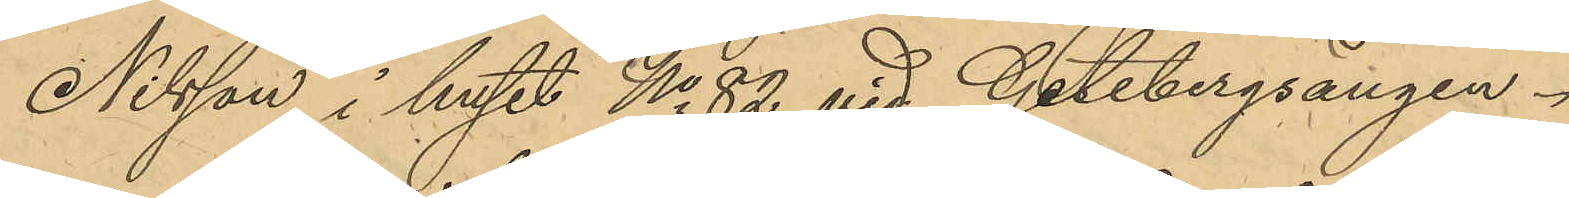Nilsson i huset No 82 vid Getebergsängen.
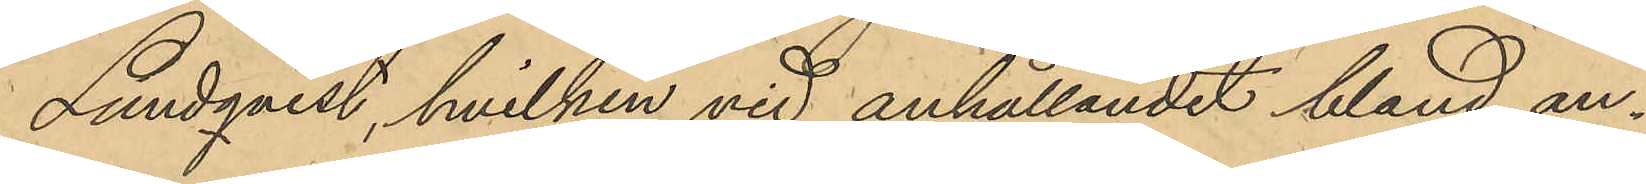Lundqvist, hvilken vid anhållandet bland an¬
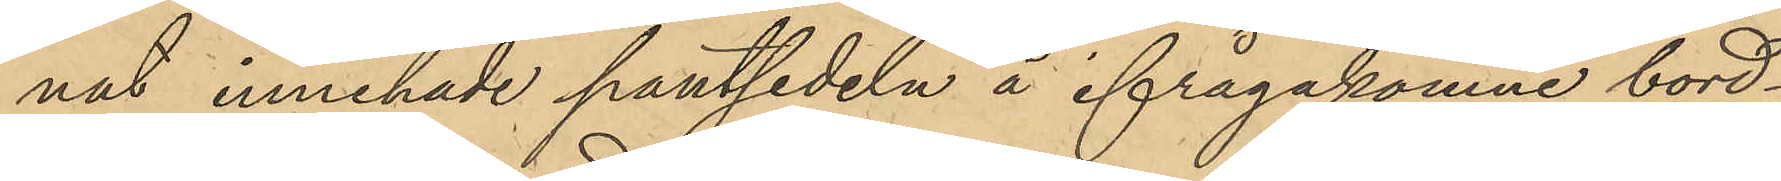nat innehade pantsedeln å ifrågakomne bord¬
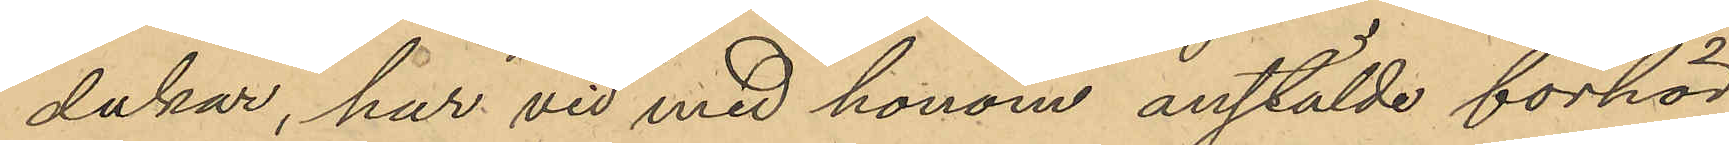dukar, har vid med honom anstälde förhör
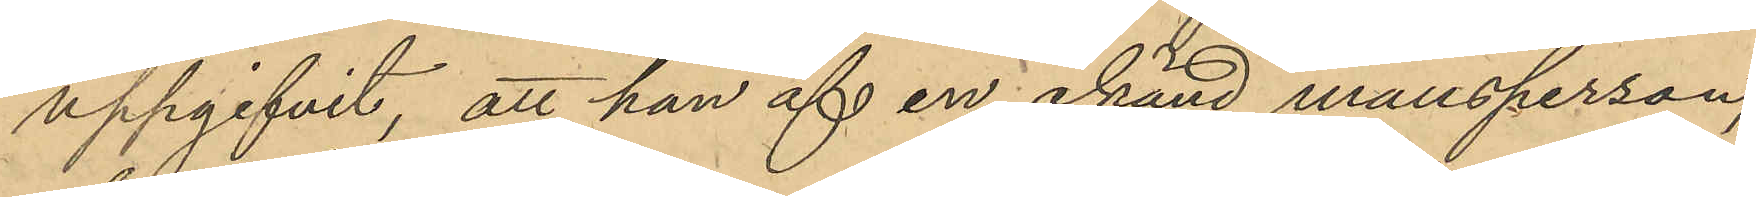uppgifvit, att han af en okänd mansperson,
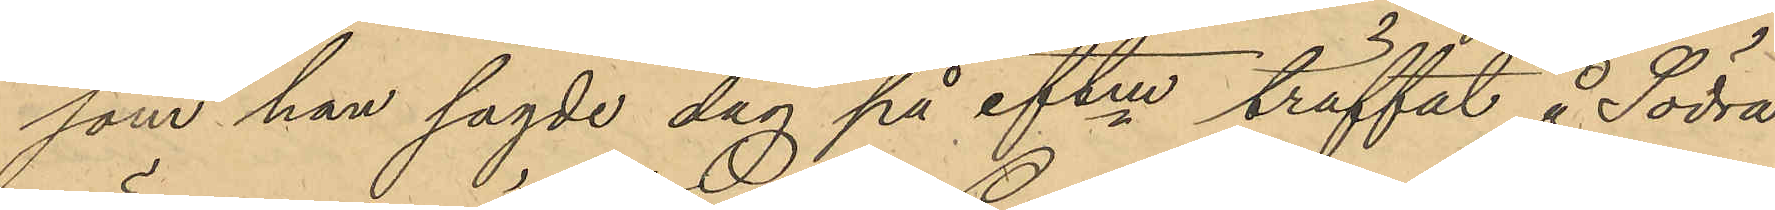som han sagde dag på eftm träffat å Södra
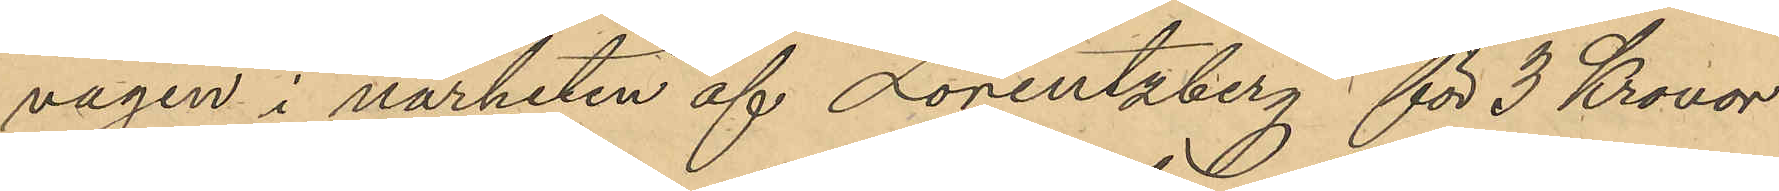vägen i närheten af Lorentzberg för 3 Kronor
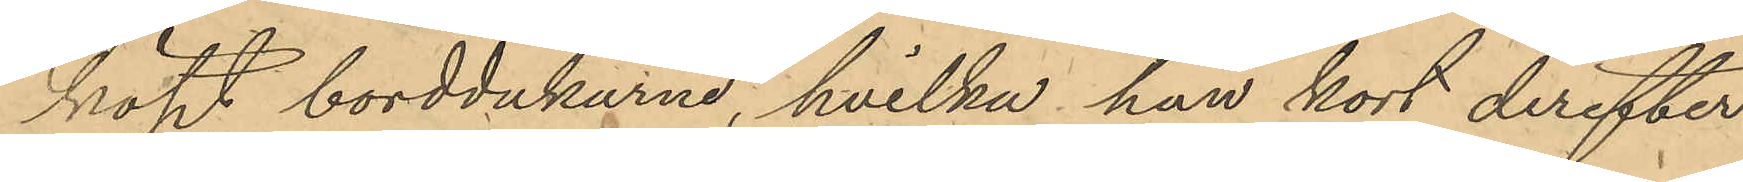köpt borddukarne, hvilka han kort derefter
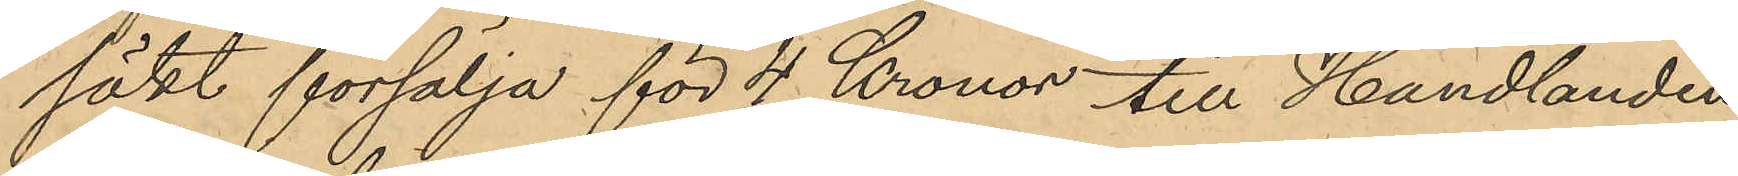sökt försälja för 4 Kronor till Handlanden
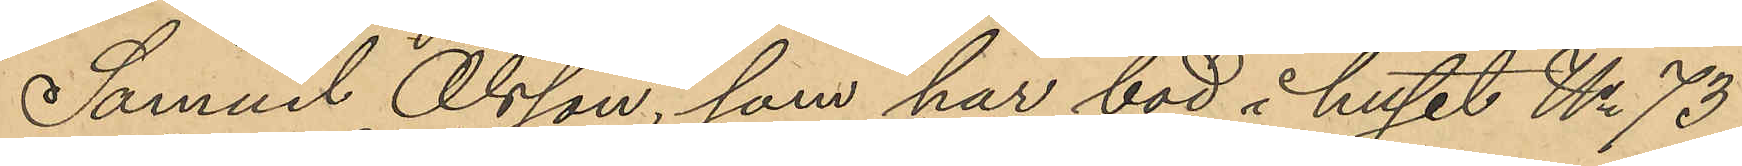Samuel Olsson, som har bod i huset No 73
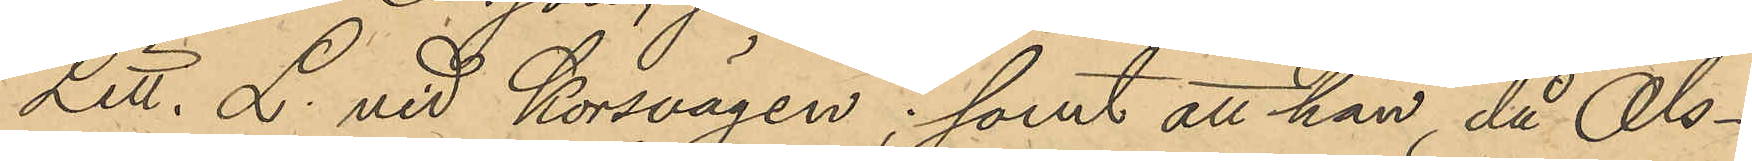Litt. L. vid Korsvägen; samt att han, då Ols¬
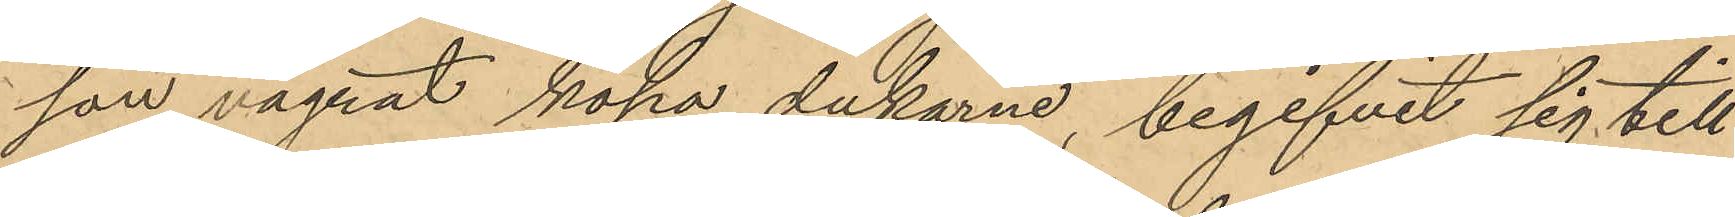son vägrat köpa dukarne, begifvit sig till
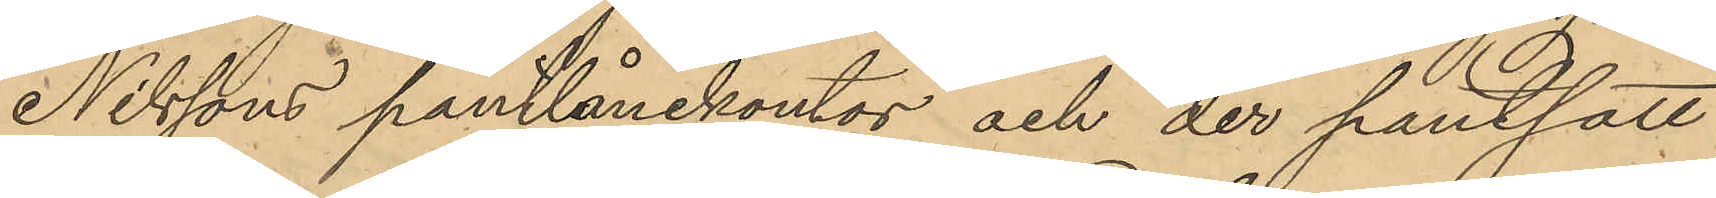Nilssons pantlånekontor och der pantsatt
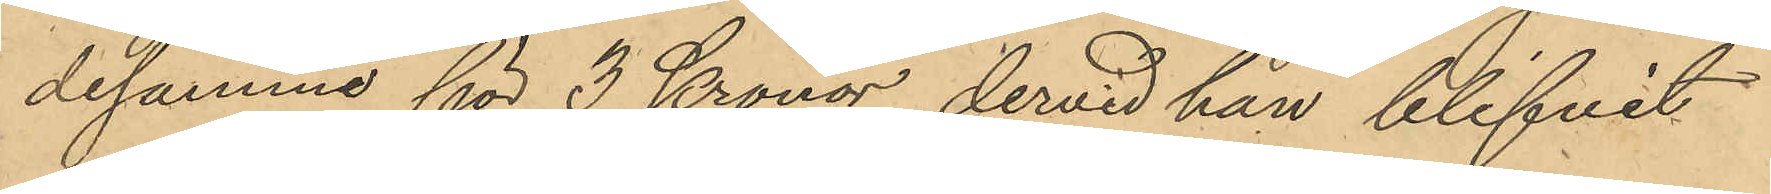desamma för 3 Kronor, dervid han blifvit
